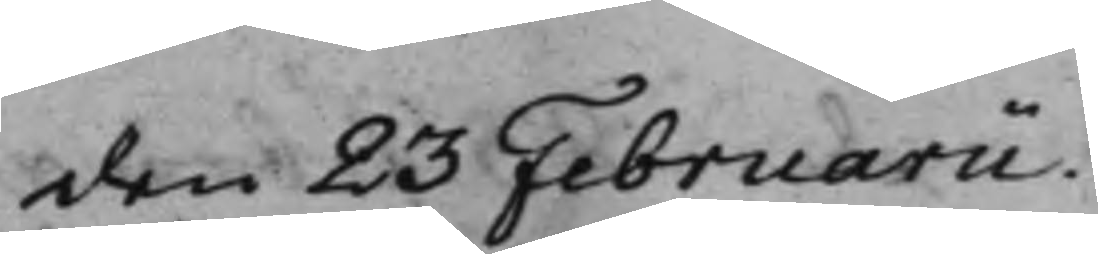den 23 Februarii.
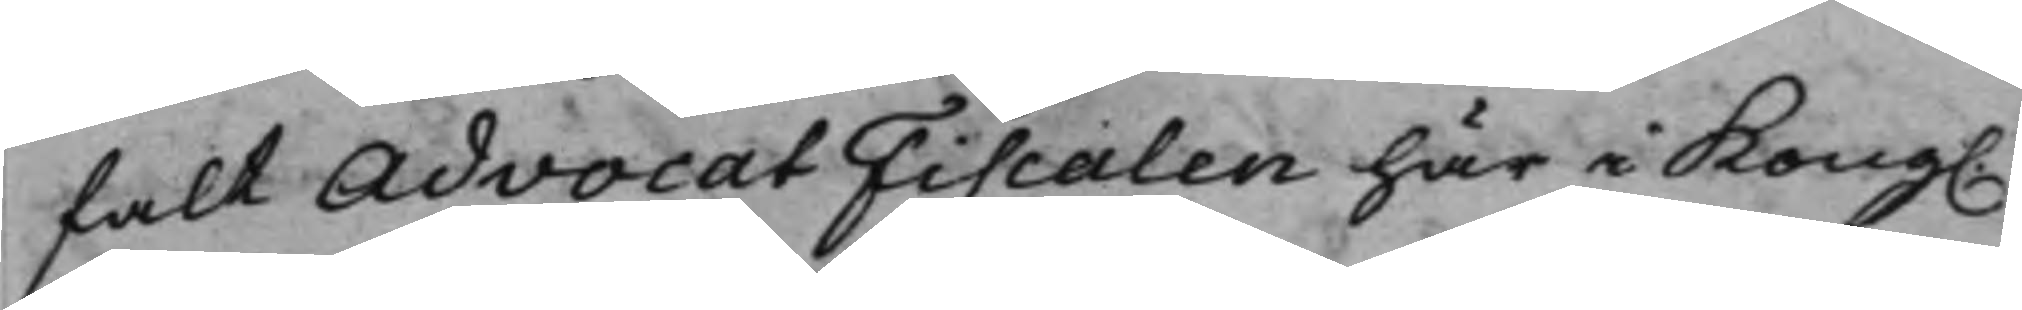falt AdvocatFiscalen här i Kong.
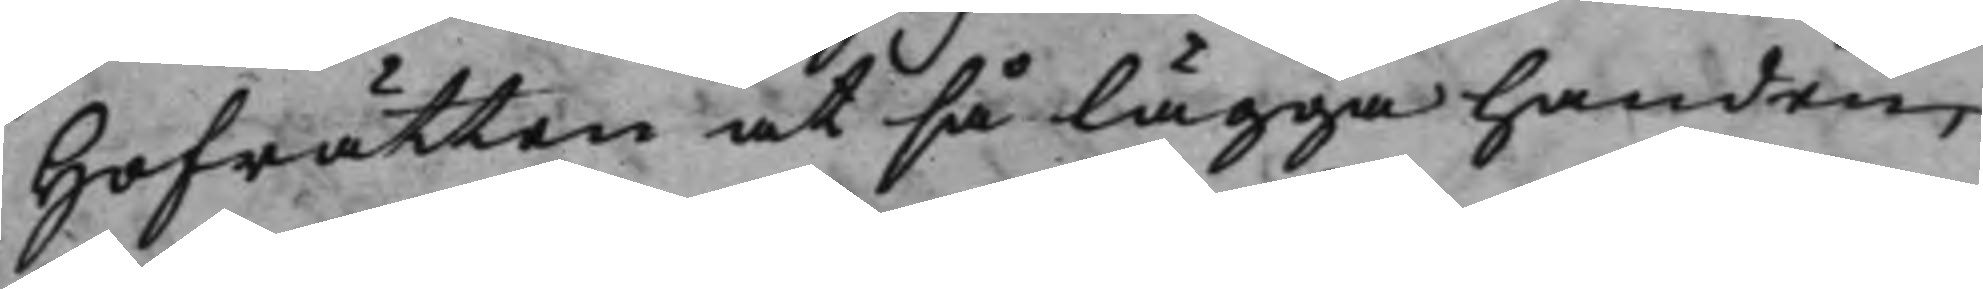Hofrätten at så lägga handen,
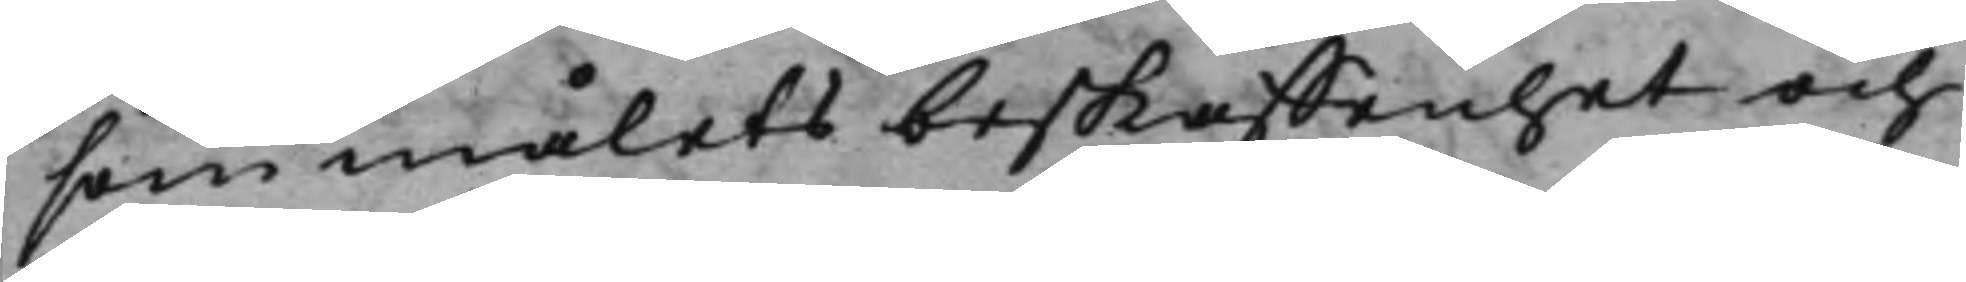som målets beskaffenhet och
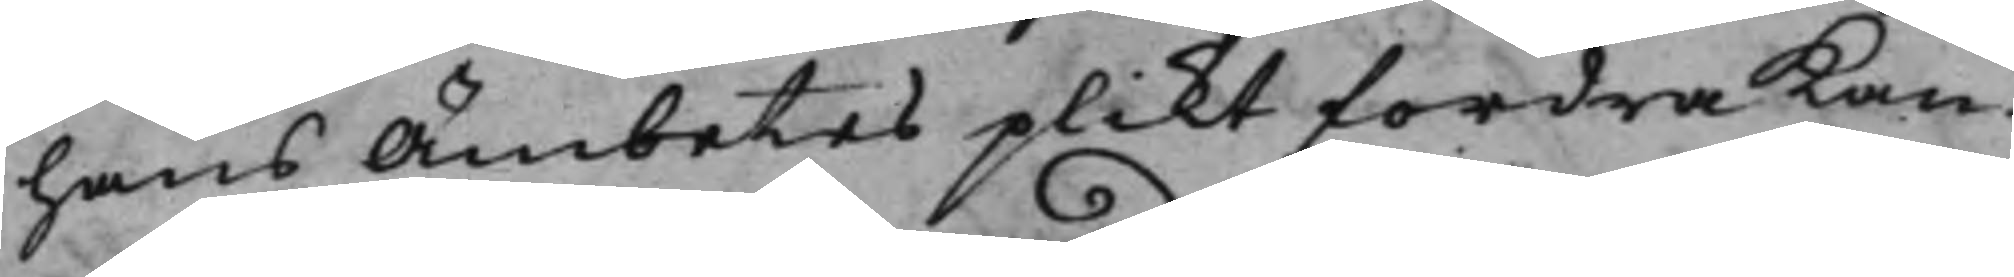hans Ämbetes plikt fordra kan.
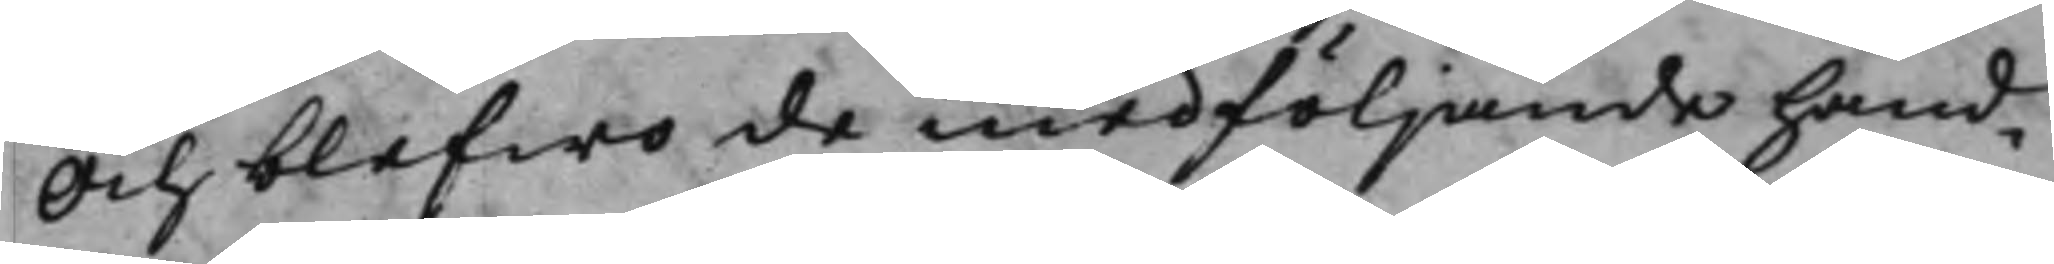Och blefwo de medföljande hand¬
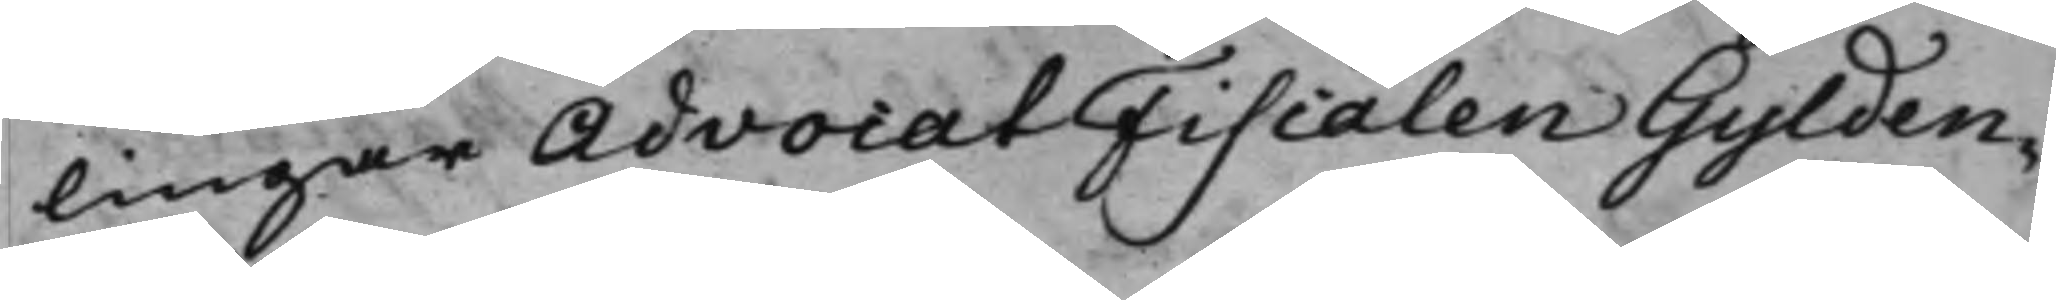lingar AdvocatFiscalen Gylden¬-
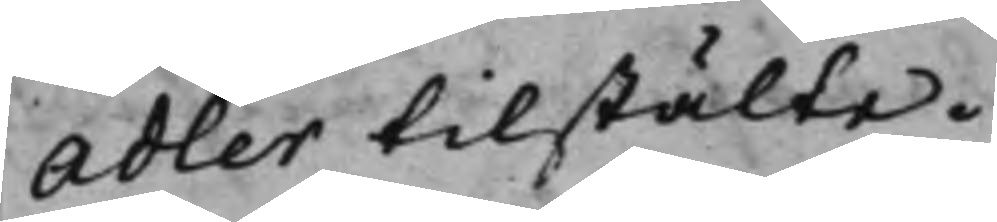Adler tilstälte.
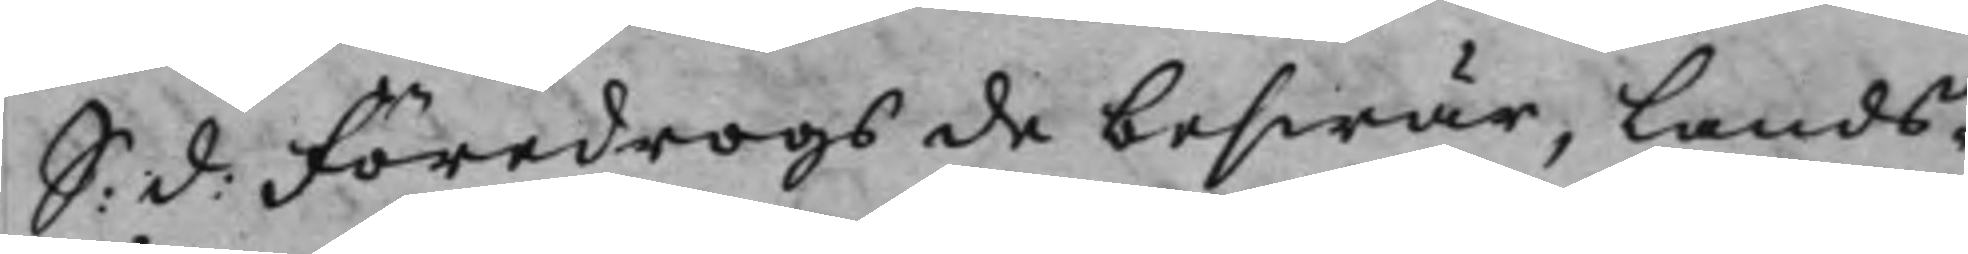S: d: Föredrogs de beswär, Lands¬
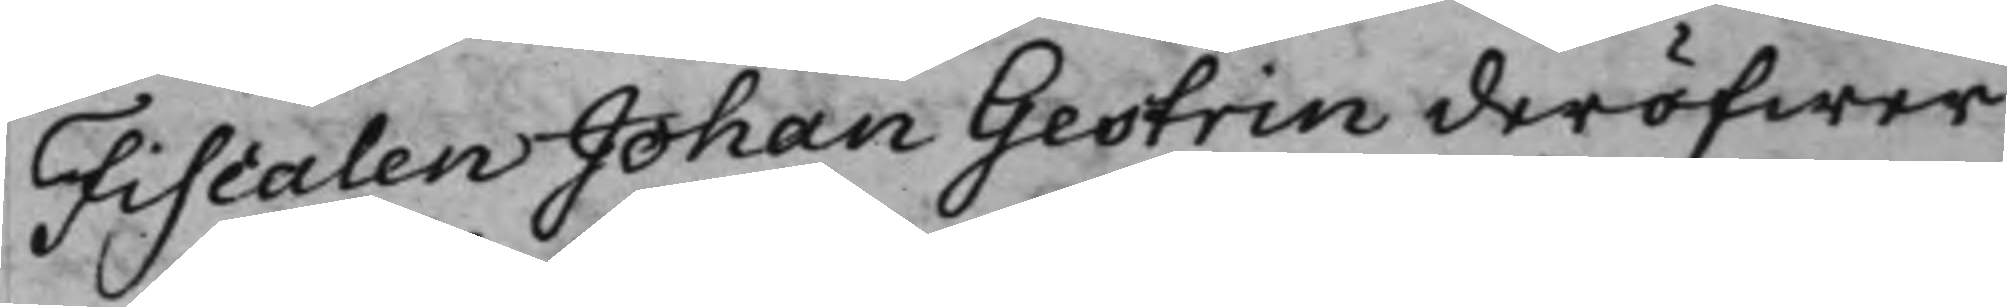Fiscalen Johan Gestrin deröfwer
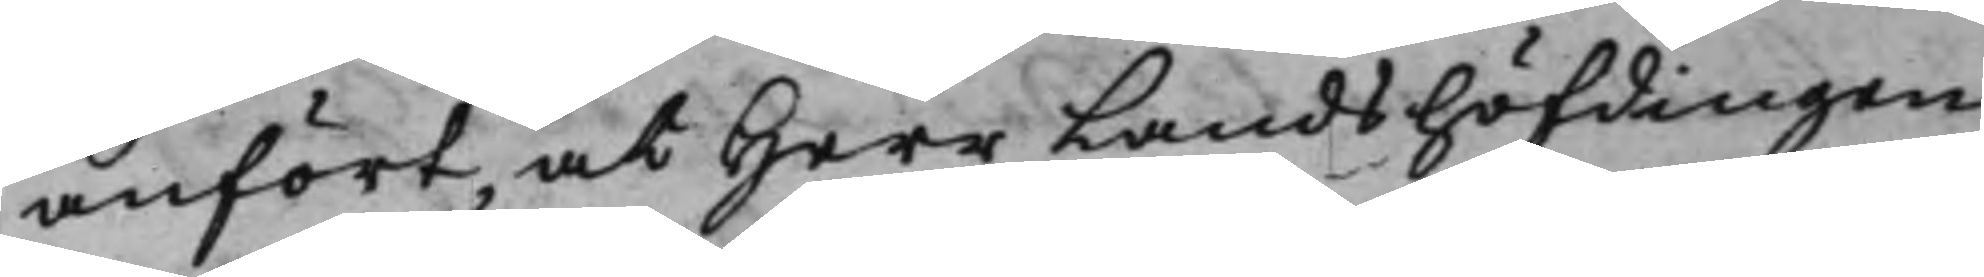anfört, at Herr Landshöfdingen
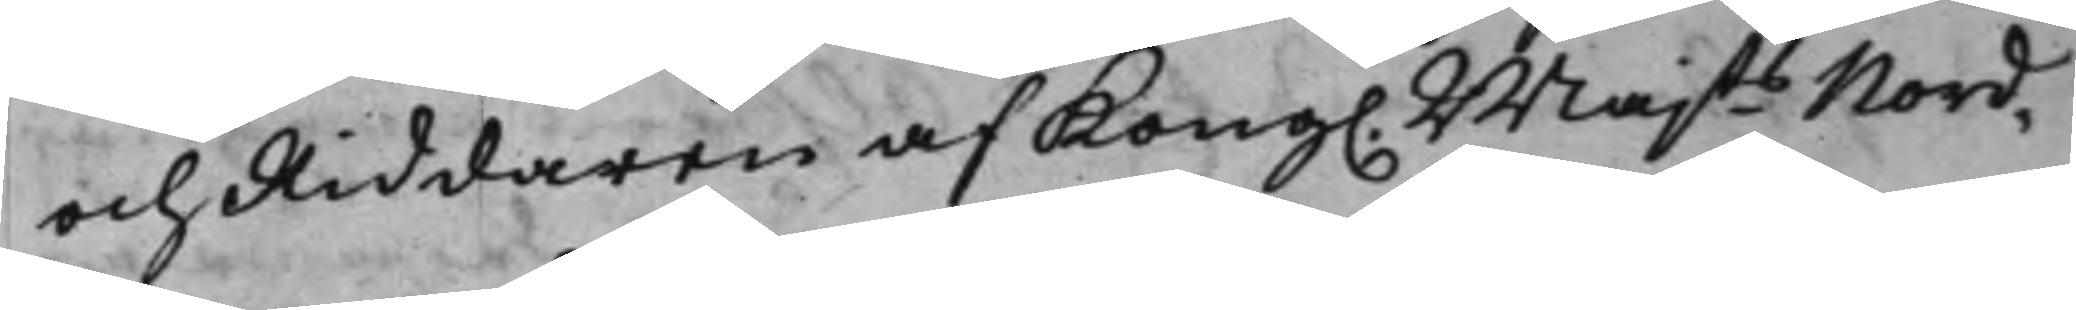och Riddaren af Kong. Majts Nord¬
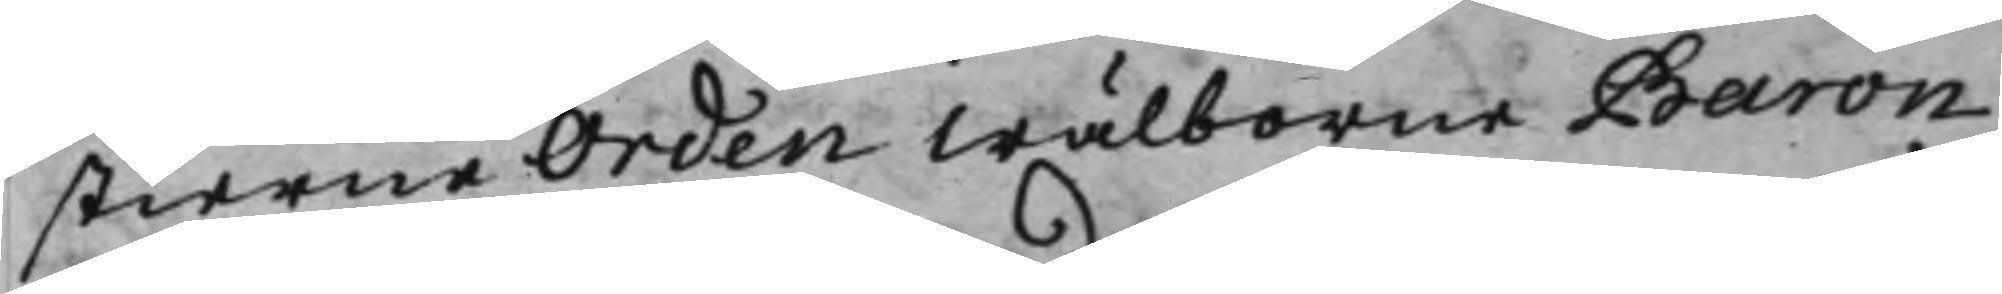stierne Orden Wälborne Baron
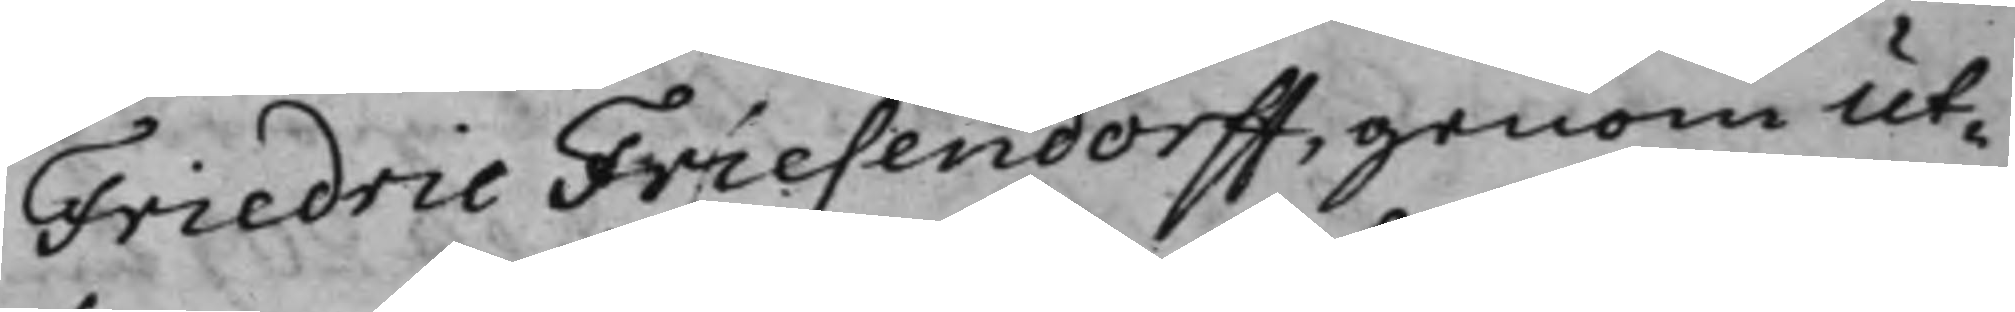Friedric Friesendorff, genom Ut¬
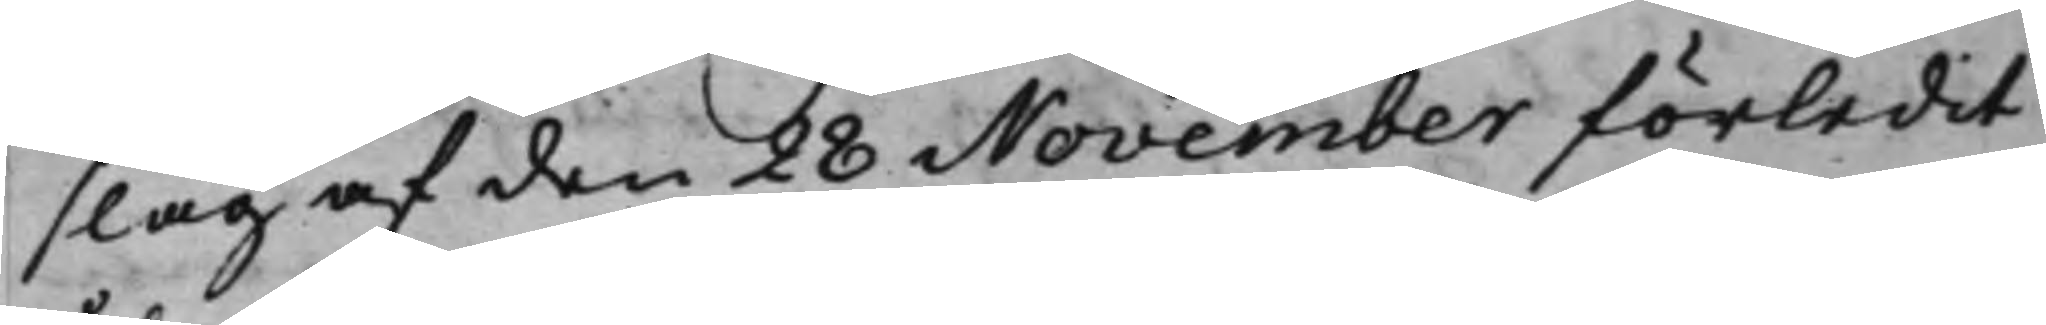slag af den 28 November förledit
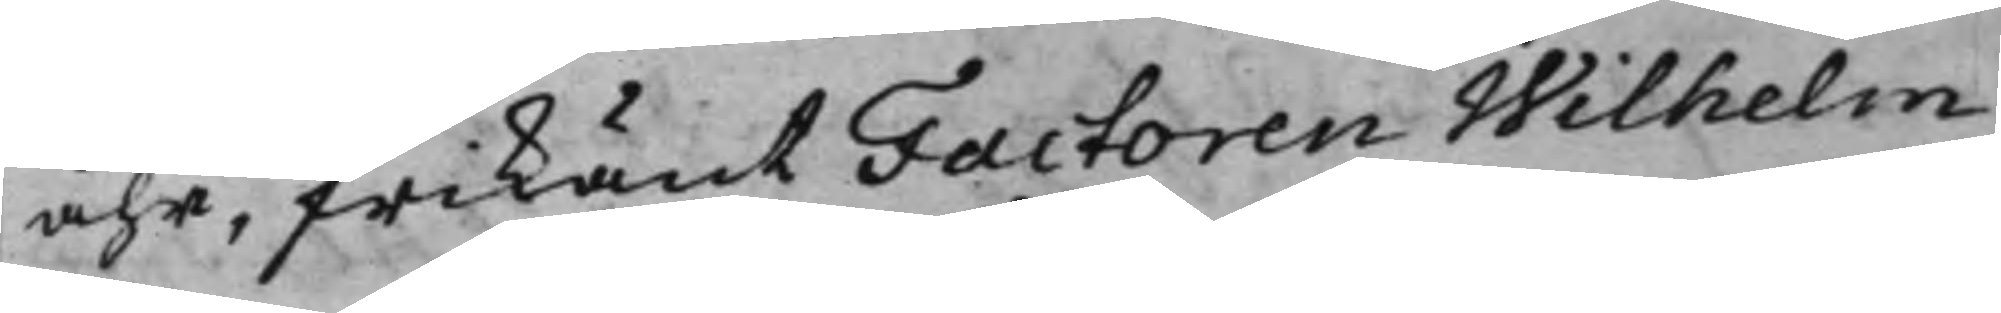åhr, frikänt Factoren Wilhelm
